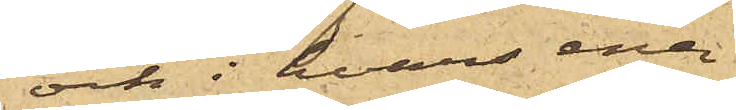och i hvars ena
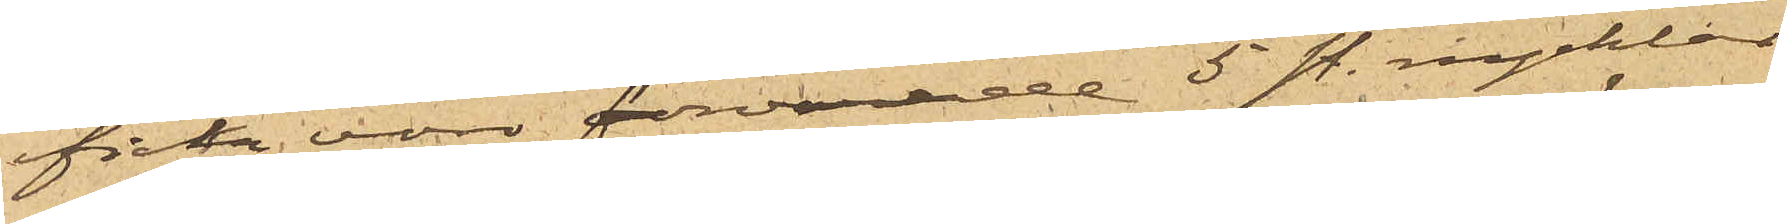ficka voro förvarade 5 sty. nycklar
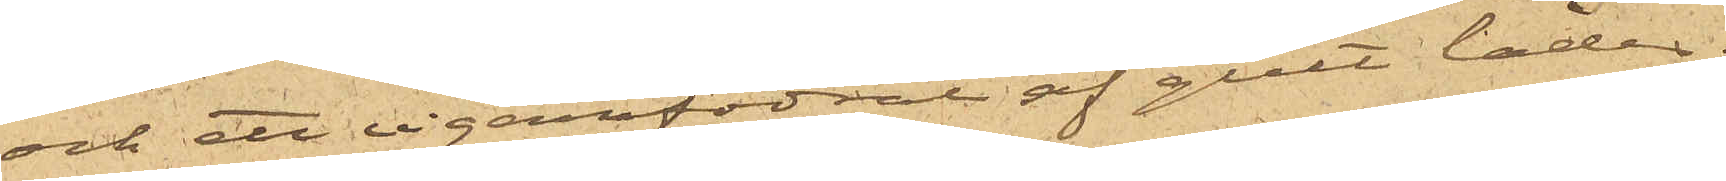och ett cigarrfodral af gult läder,
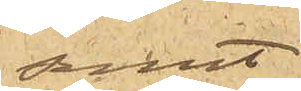samt
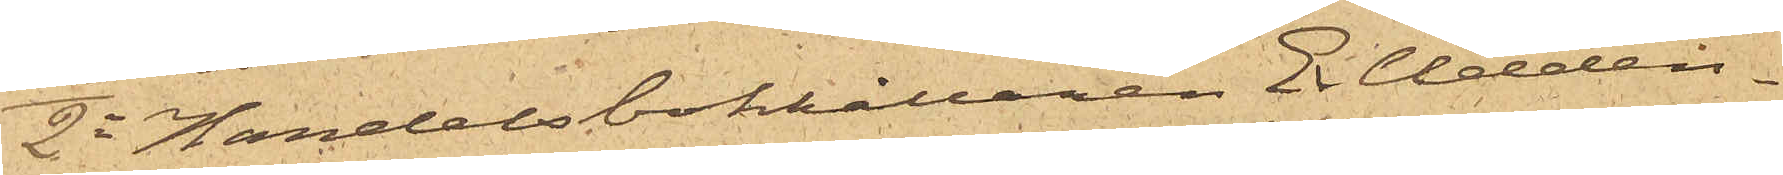2o Handelsbokhållaren E. Udden¬
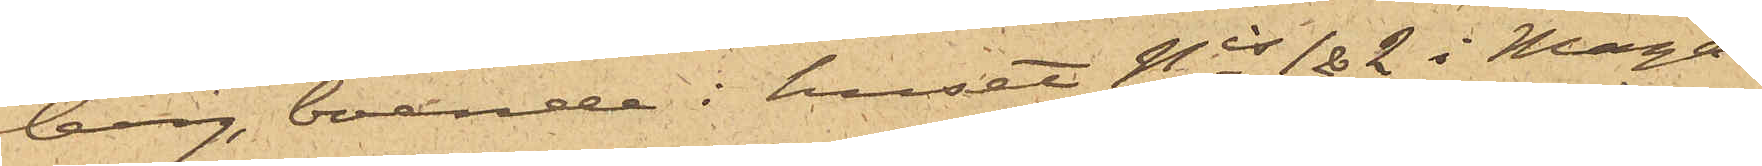berg, boende i huset Nris 1&2 i Maga¬
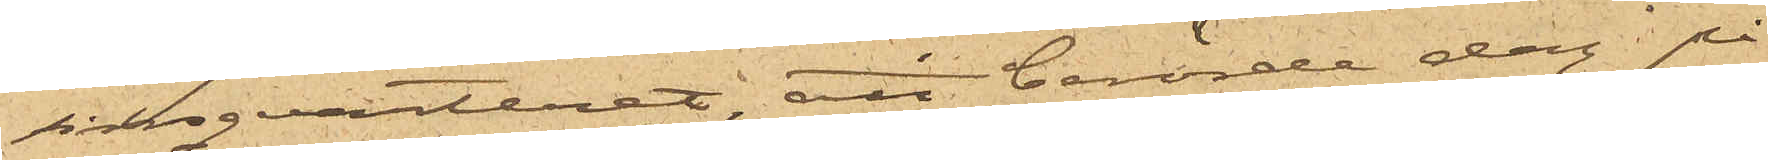sinsqvarteret att berörde dag på
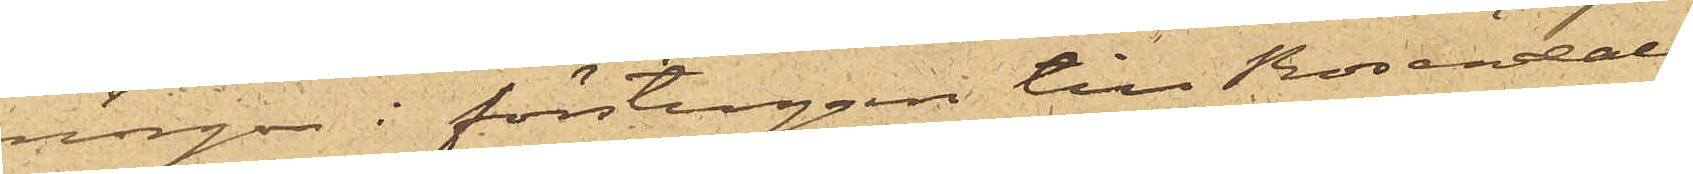morgon i förstugan till Rosendals
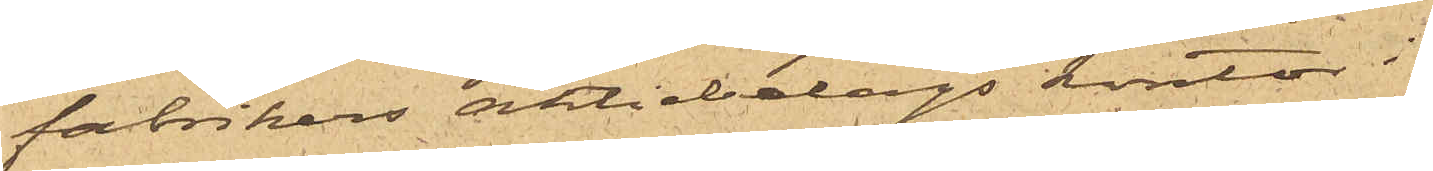fabrikers aktiebolags kontor i
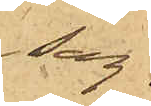sag¬
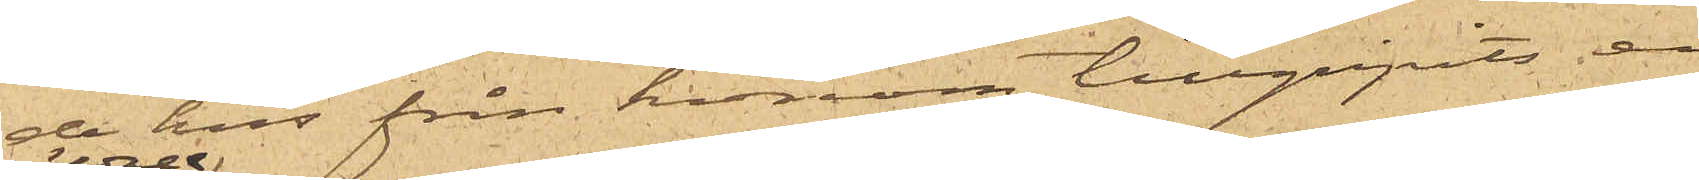de hus från honom tillgripits en
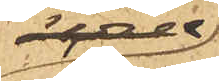ögale
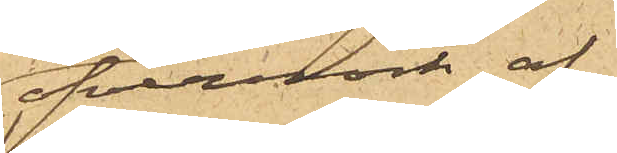öfverrock af
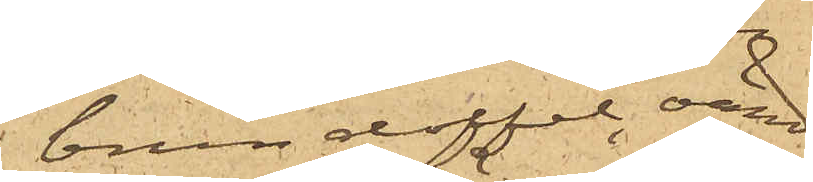brun doffel, värd
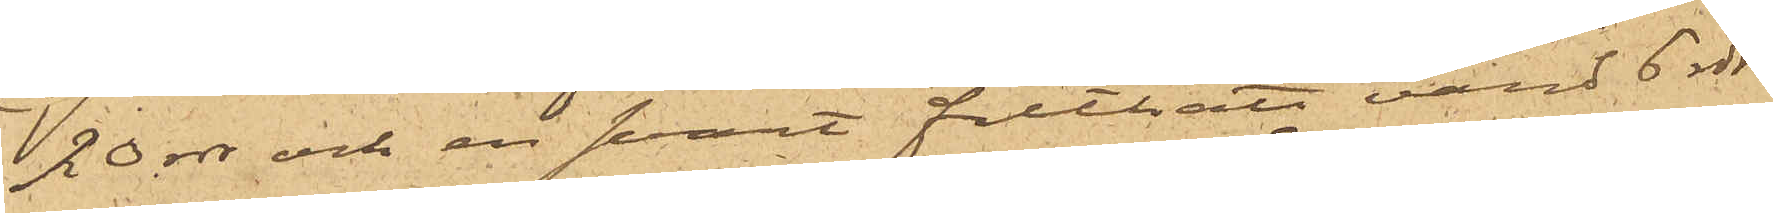20 rdr och en svart filthatt värd 6 rdr.
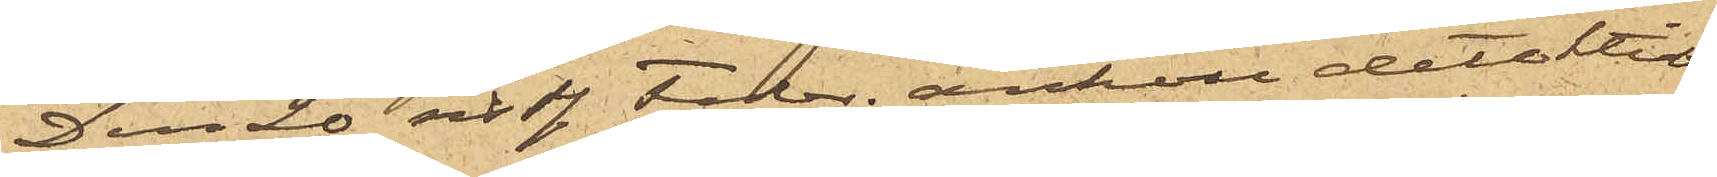Den 20 sist. Febr. anhöll detektiv¬
